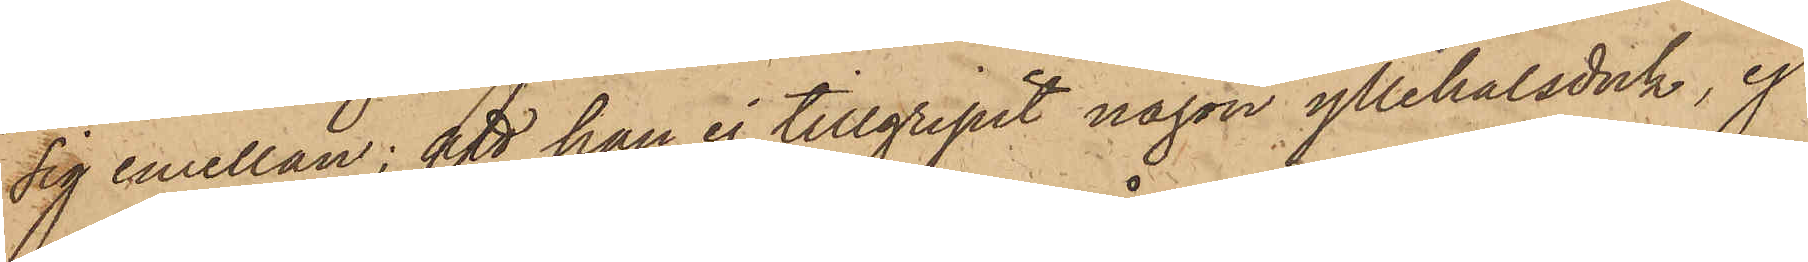sig emellan; att han ej tillgripit någon yllehalsduk, ej
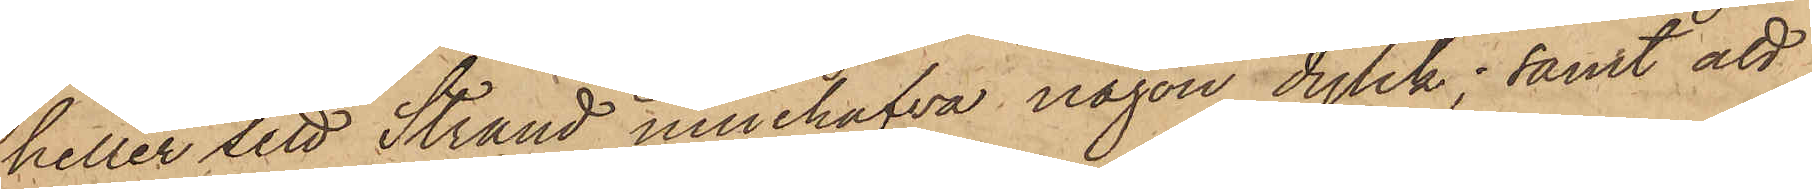heller sett Strand innehafva någon dylik; samt att
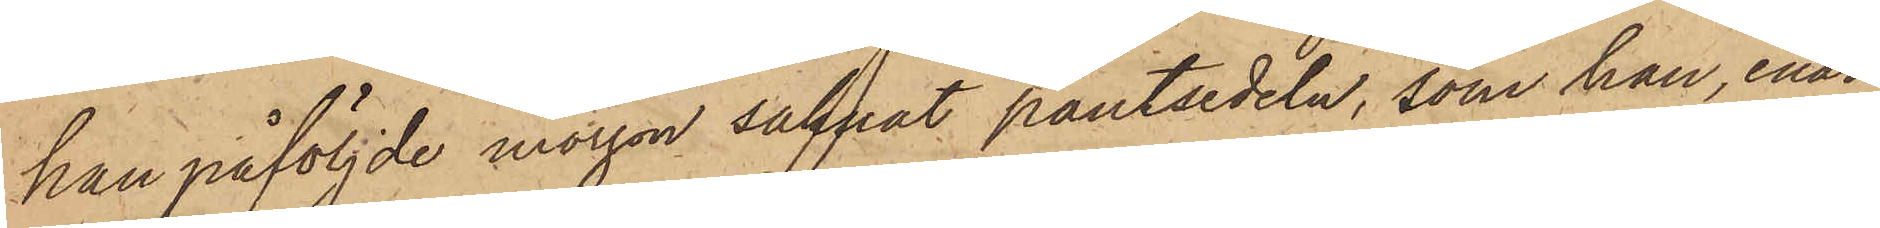han påföljde morgon saknat pantsedeln, som han, enär
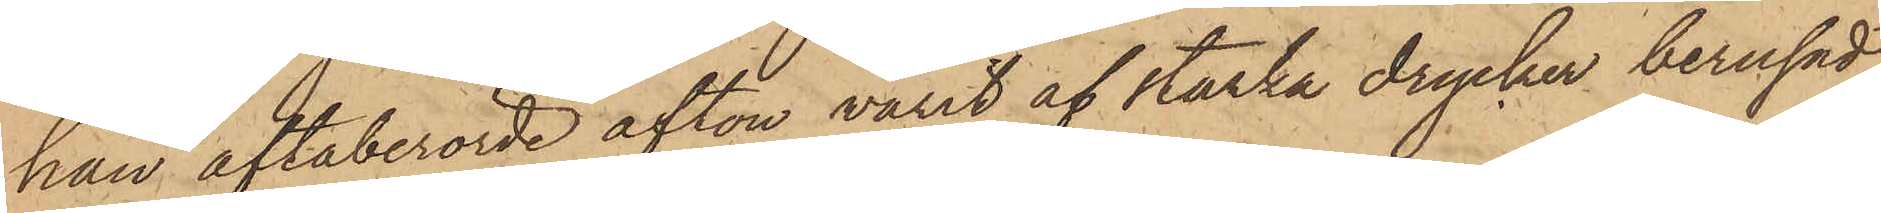han oftaberörde afton varit af starka drycker berusad,
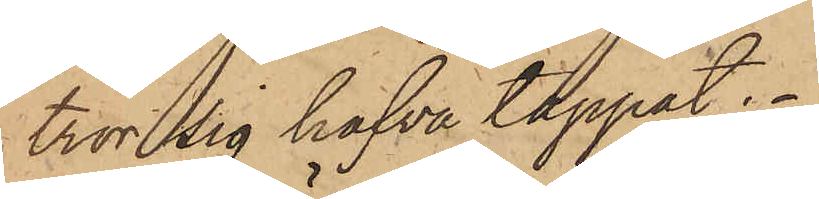tror sig hafva tappat.
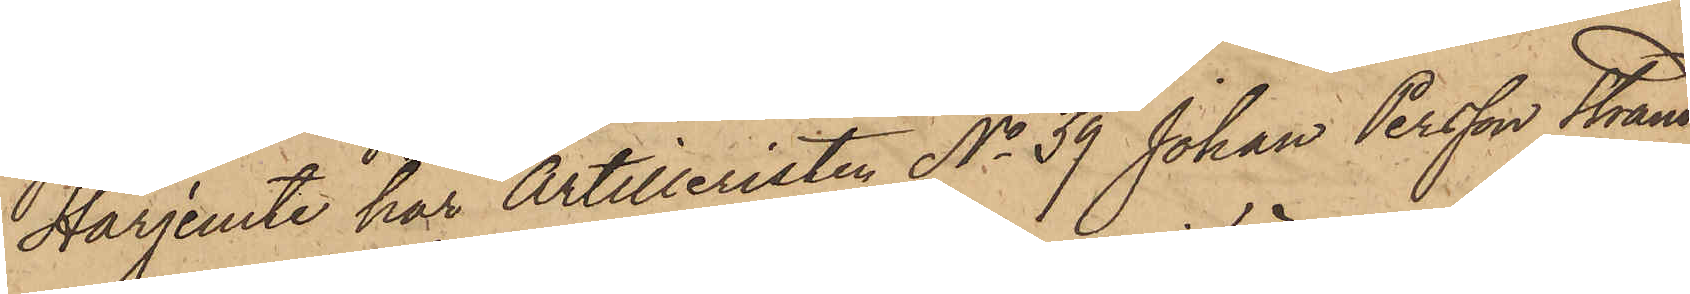Härjemte har Artilleristen No 39 Johan Persson Strand
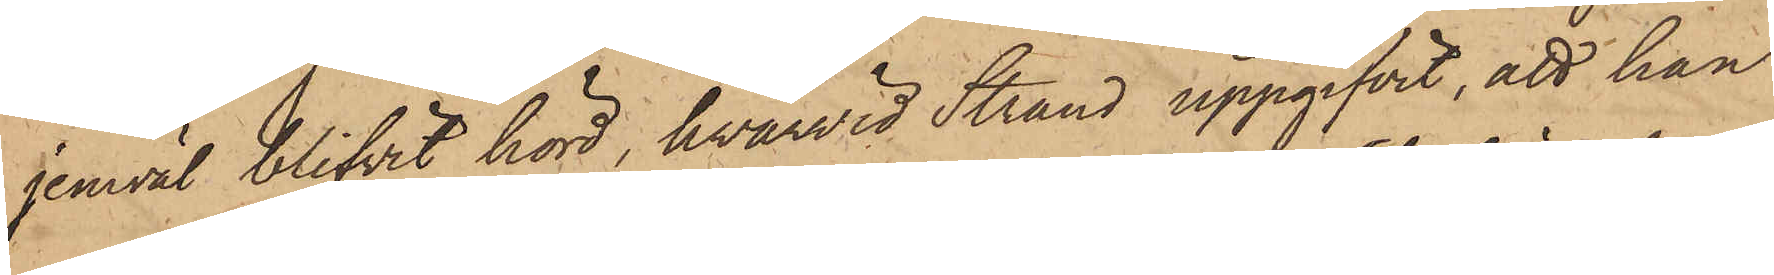jemväl blifvit hörd, hvarvid Strand uppgifvit, att han
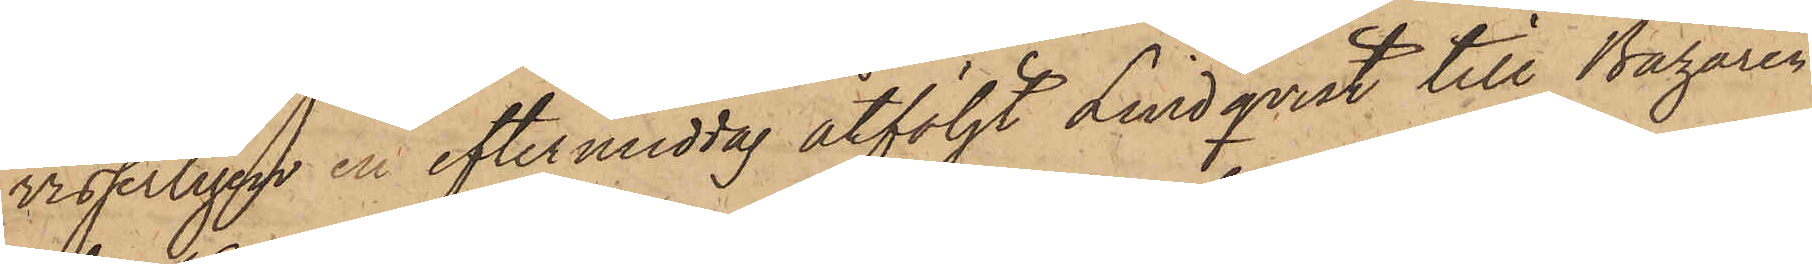visserligen en eftermiddag åtföljt Lindqvist till Bazaren
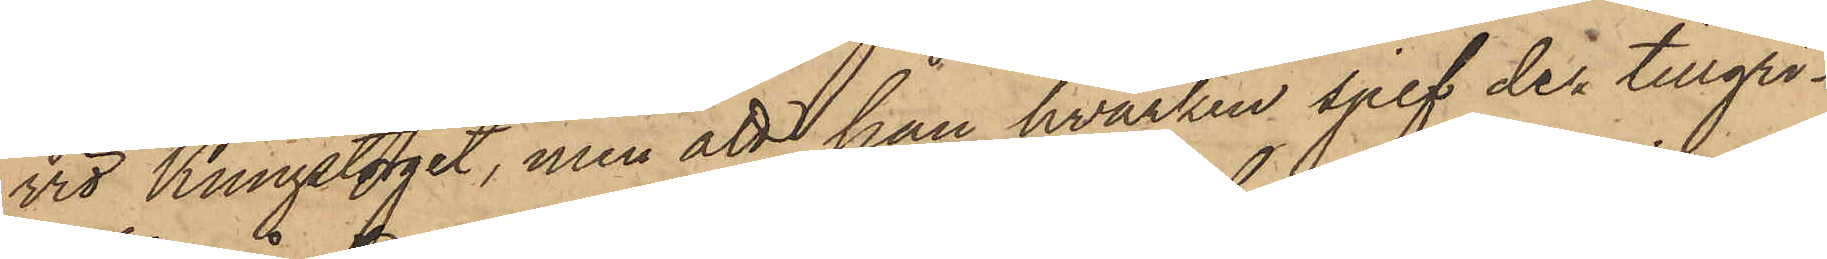vid Kungstorget, men att han hvarken sjelf der tillgri¬
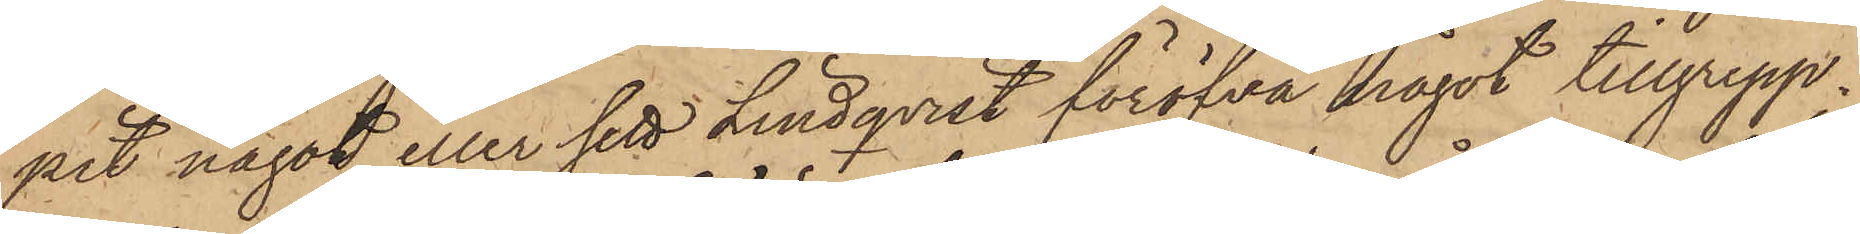pit något eller sett Lindqvist föröfva något tillgrepp;
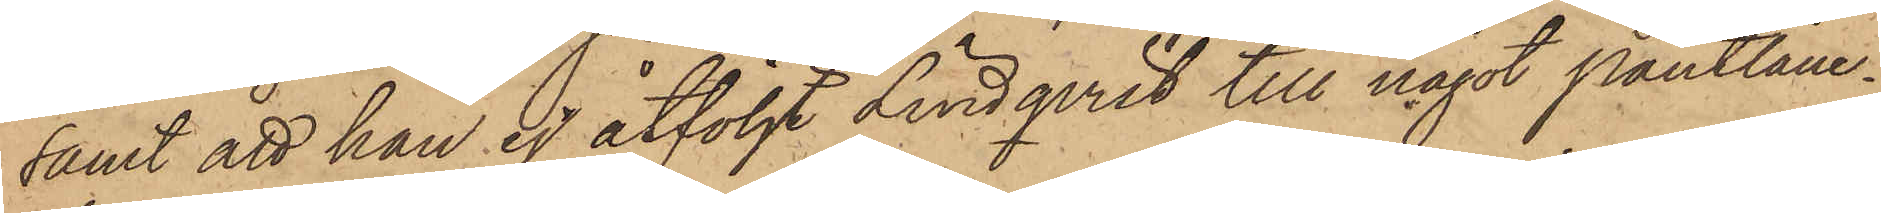samt att han ej åtföljt Lindqvist till något Pantlåne¬
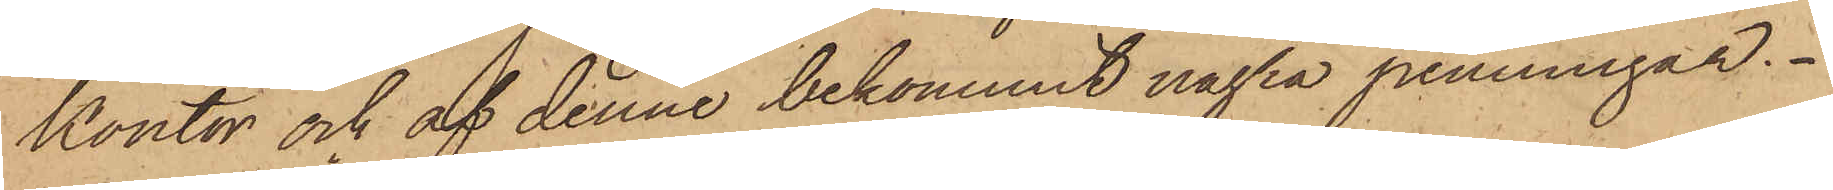kontor och af denne bekommit några penningar.
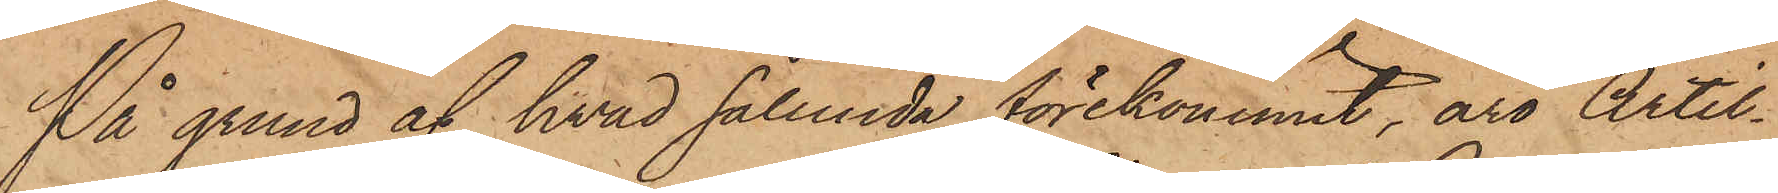På grund af hvad sålunda förekommit, äro Artil¬
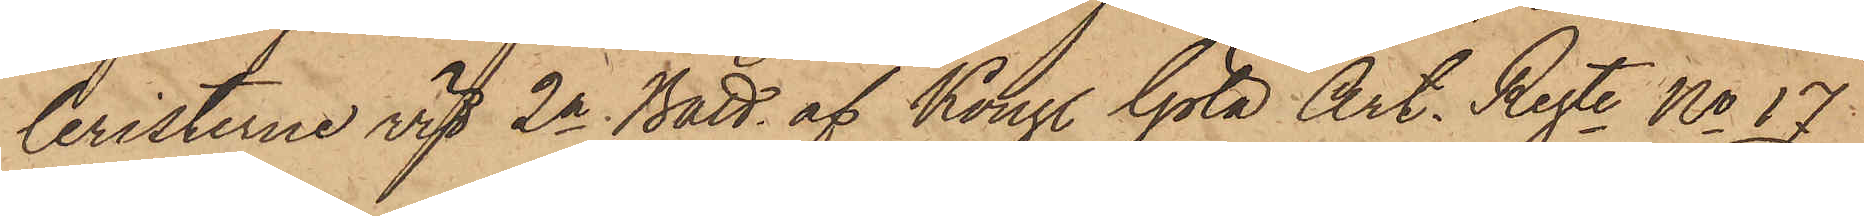leristerne vid 2a Batt. af Kongl Göta Art. Regte No 17
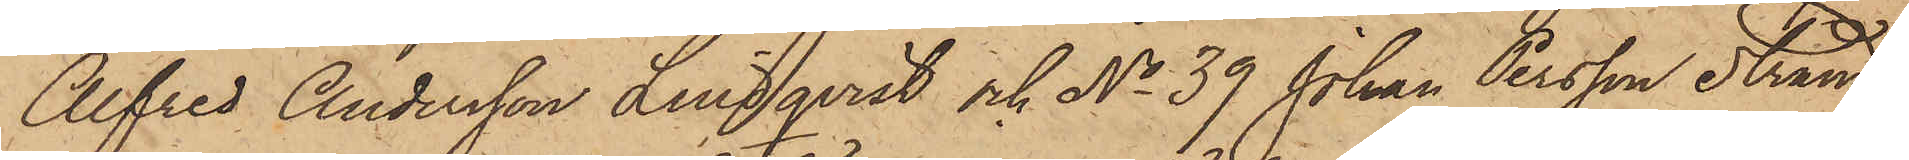Alfred Andersson Lindqvist och No 39 Johan Persson Strand,
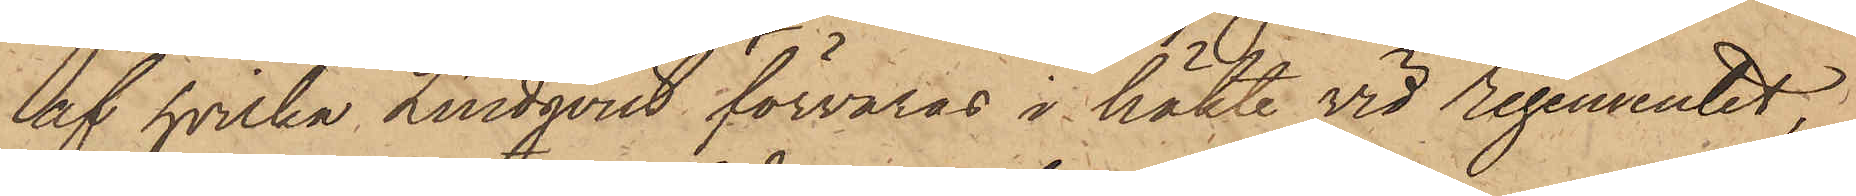af hvilka Lindqvist förvaras i häkte vid Regementet,
